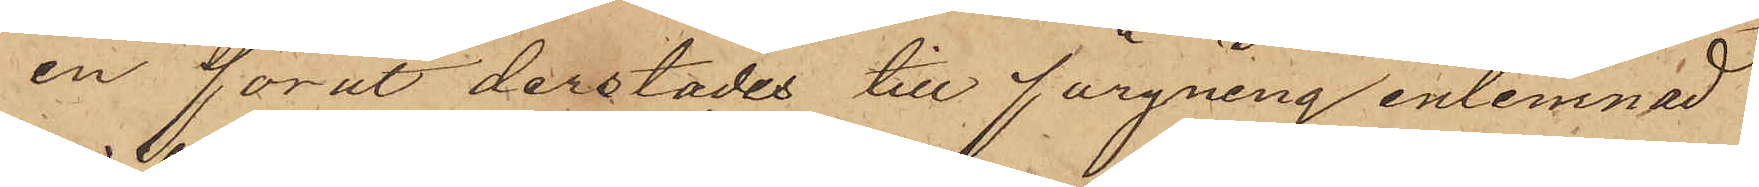en förut derstädes till färgning inlemnad
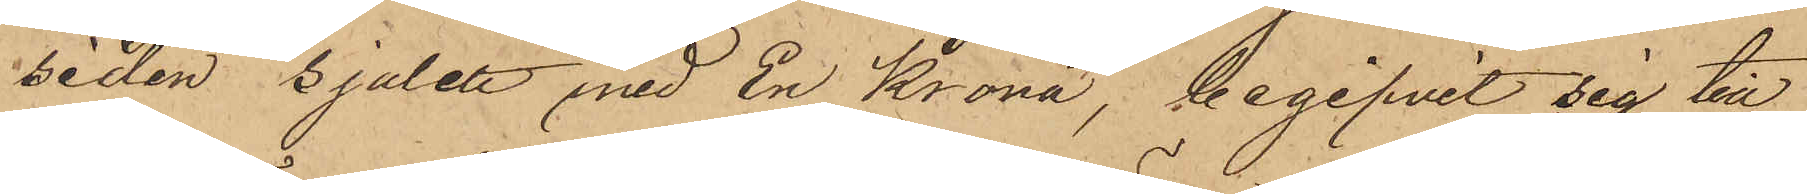siden sjalett med En Krona, begifvit sig till
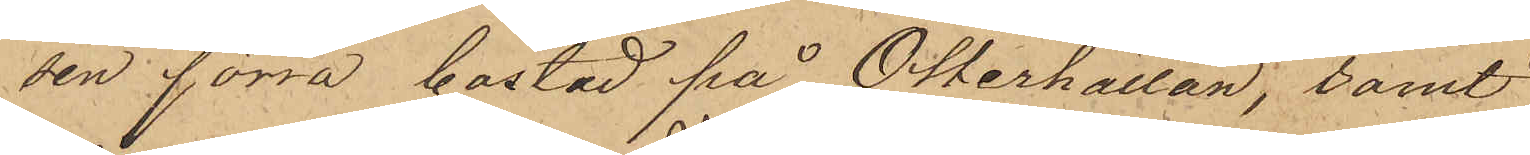sin förra bostad på Otterhällan; samt
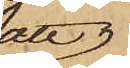att
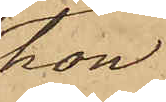hon
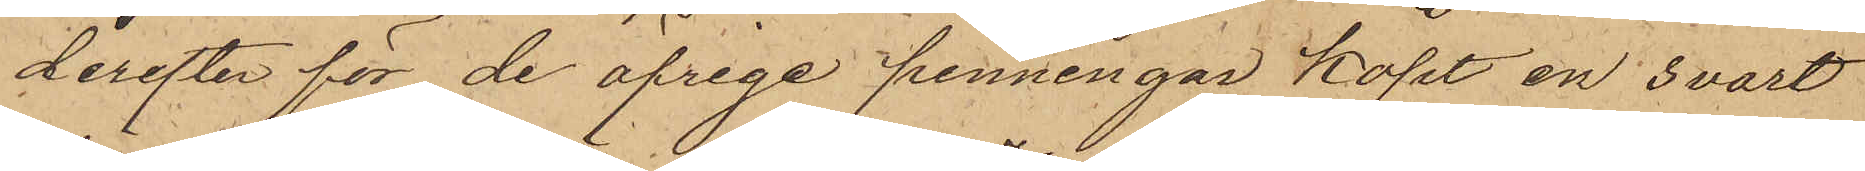derefter för de öfrige penningar köpt en svart
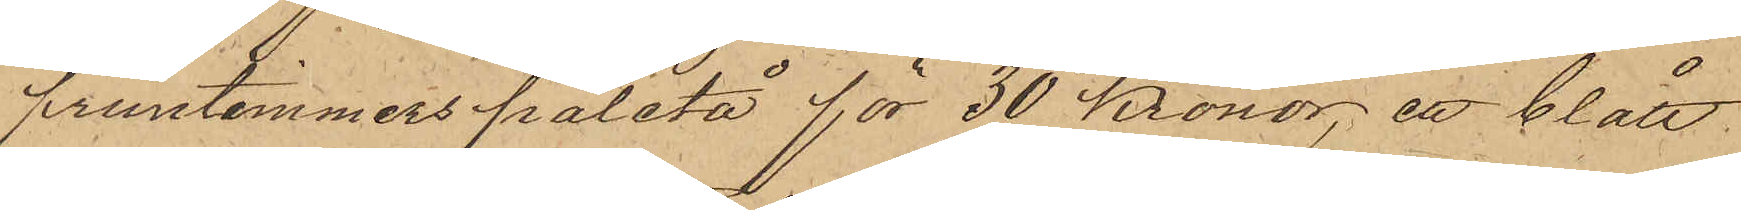fruntimmerspaletå för 30 Kronor, ett blått
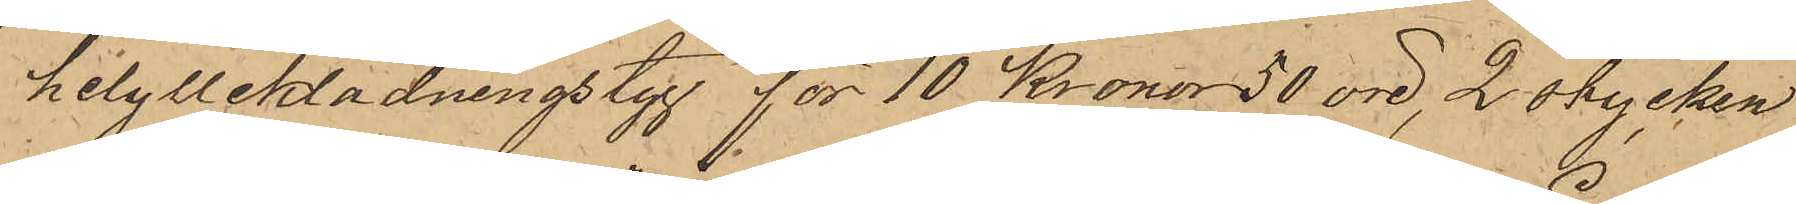helylleklädningstyg för 10 Kronor 50 öre, 2 stycken
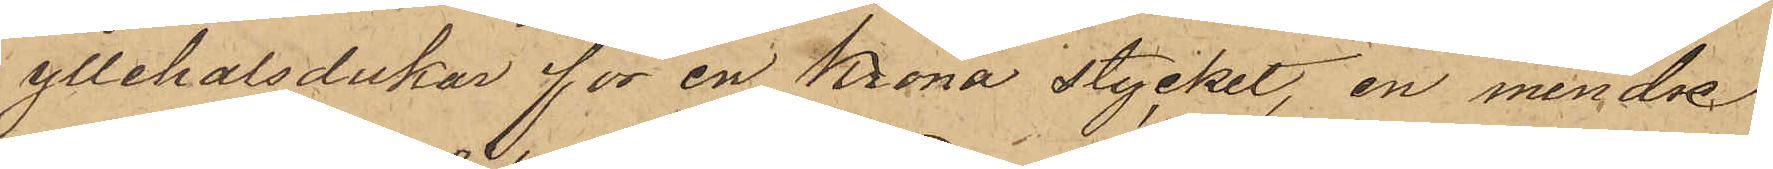yllehalsdukar för en Krona stycket, en mindre
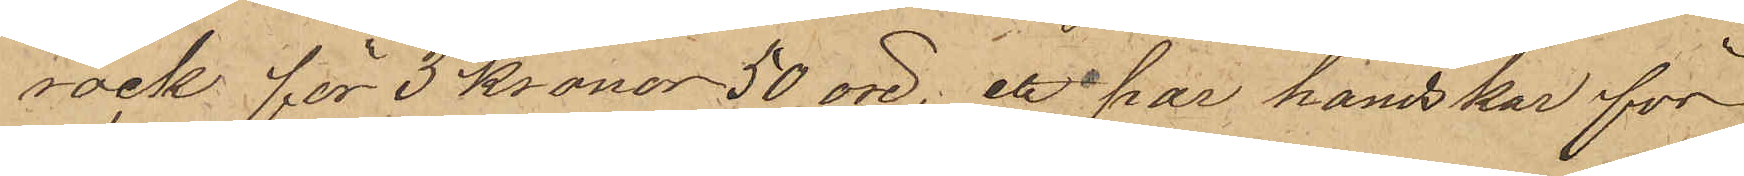rock för 3 Kronor 50 öre, ett par handskar för
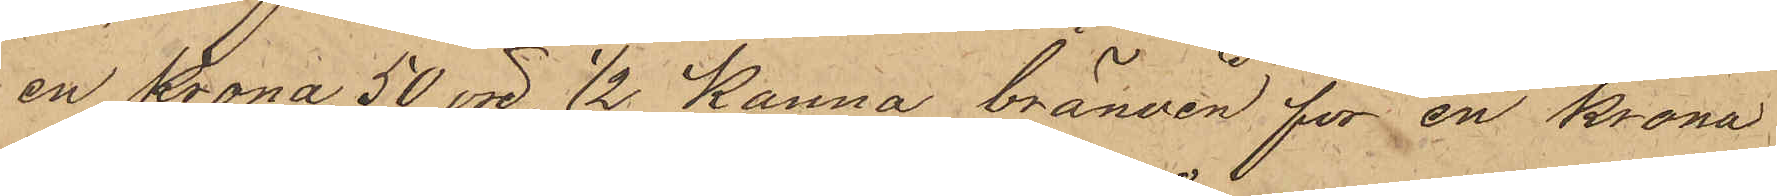en Krona 50 öre, 1/2 kanna bränvin för en Krona
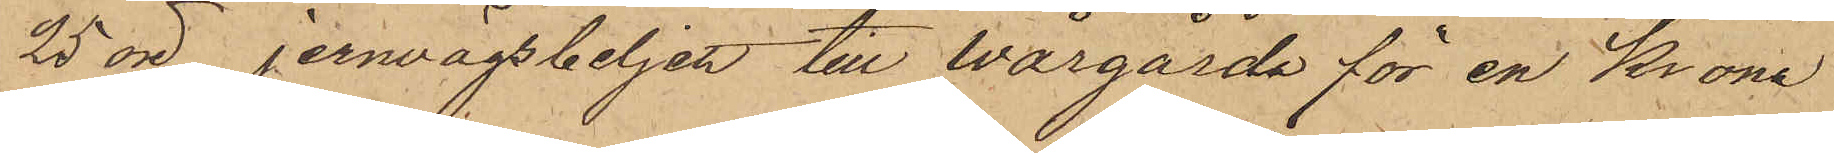25 öre, Jernvägsbeljett till Wårgårda för en Krona
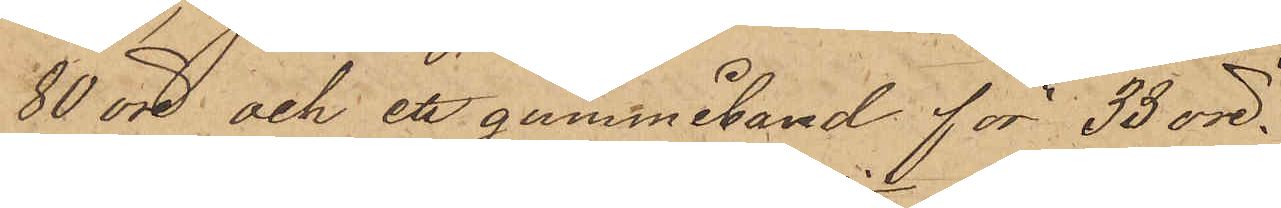80 öre och ett gummiband för 33 öre.
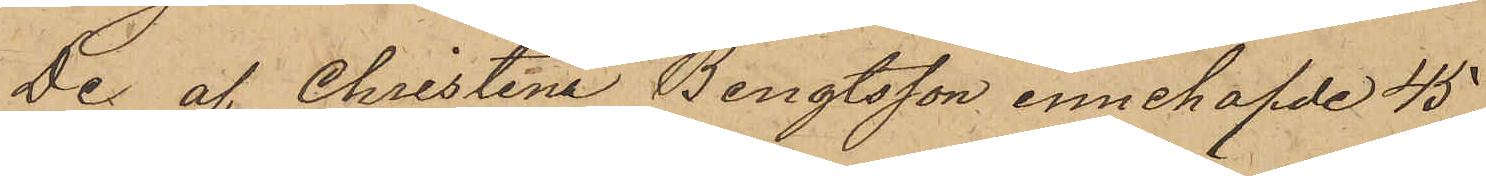De af Christina Bengtsson innehafde 45
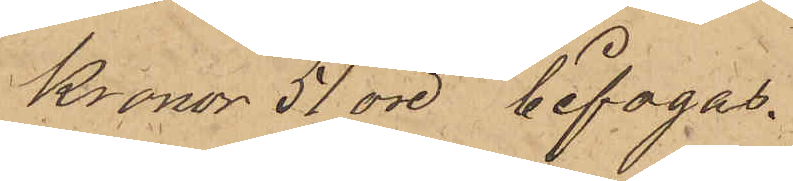Kronor 51 öre bifogas.
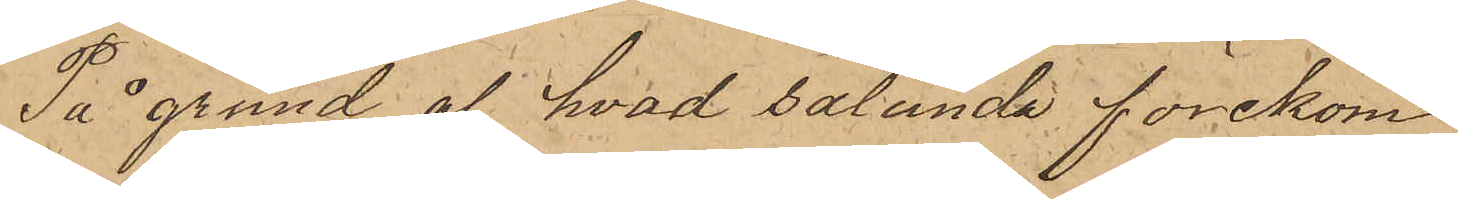På grund af hvad sålunda förekom¬
